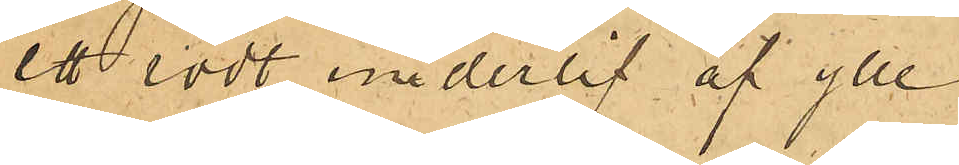ett rödt underlif af ylle
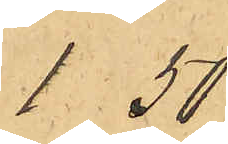1.50
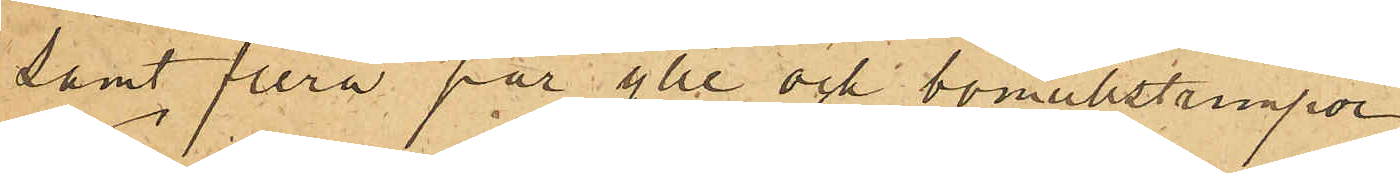samt flera par ylle och bomullstrumpor
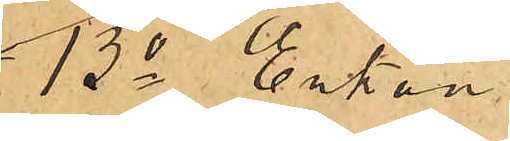13o Enkan
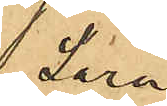Sara
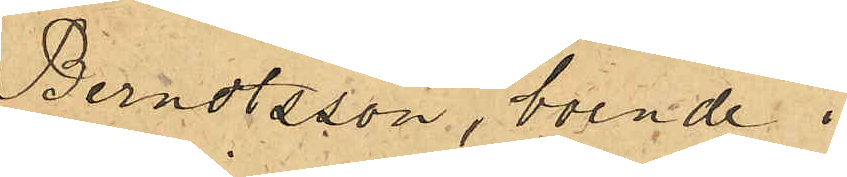Berndtsson, boende i
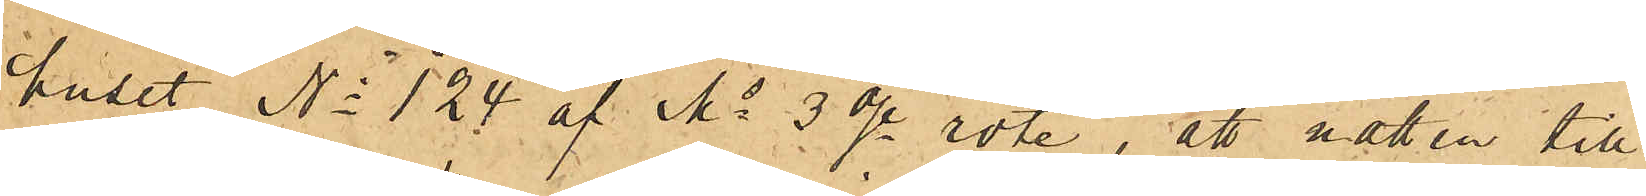huset No 124 af Ms 3dje rote, att natten till
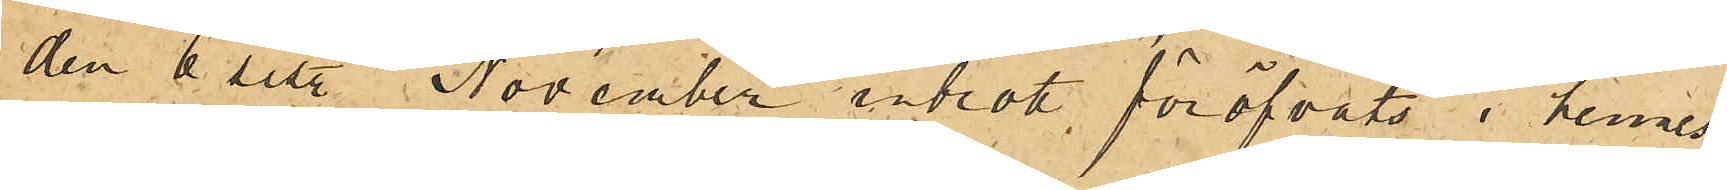den 6 sist. November inbrott föröfvats i hennes
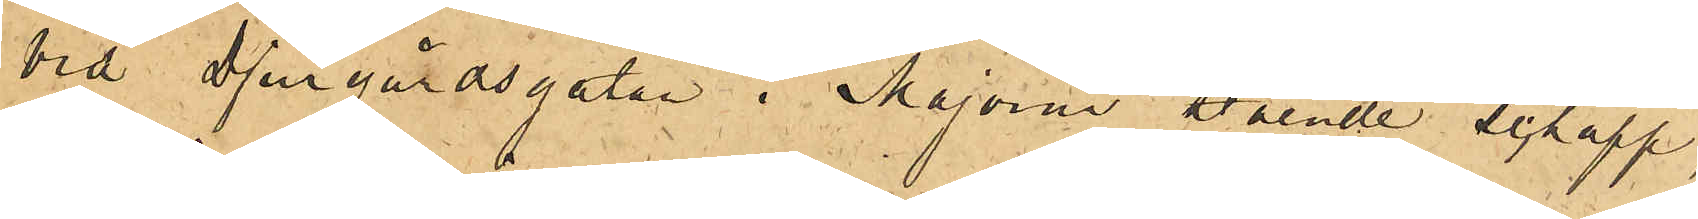vid Djurgårdsgatan i Majorna stående schapp,
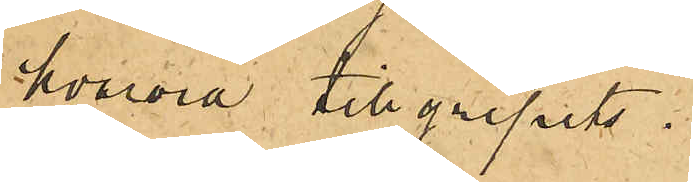hvarvid tillgripits:
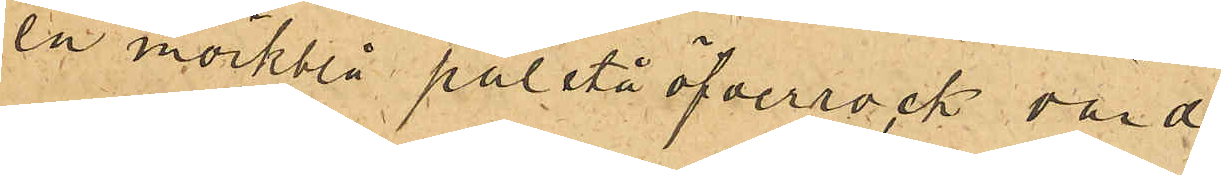en mörkblå paletåöfverrock värd
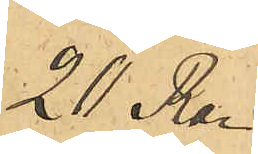20 Rdr
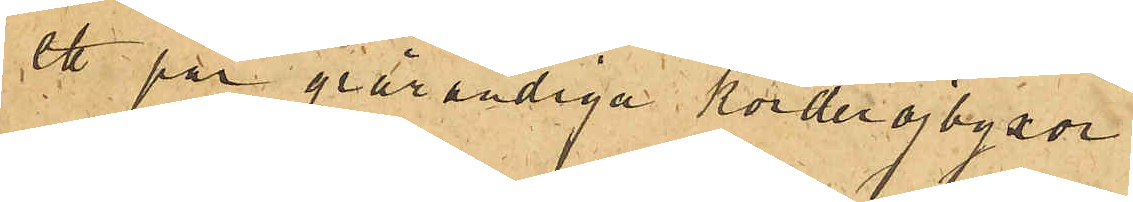ett par grårandiga korderojbyxor
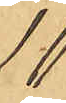10
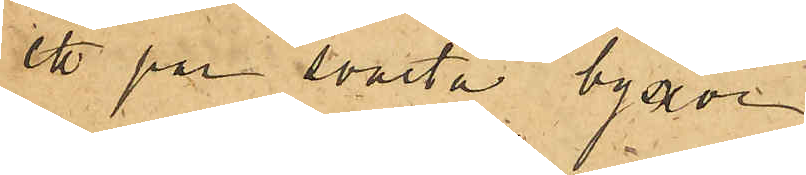ett par svarta byxor
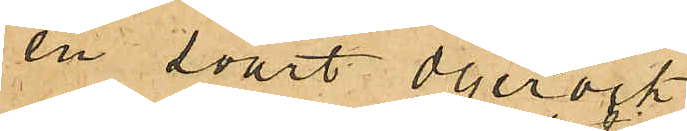en svart oljerock
